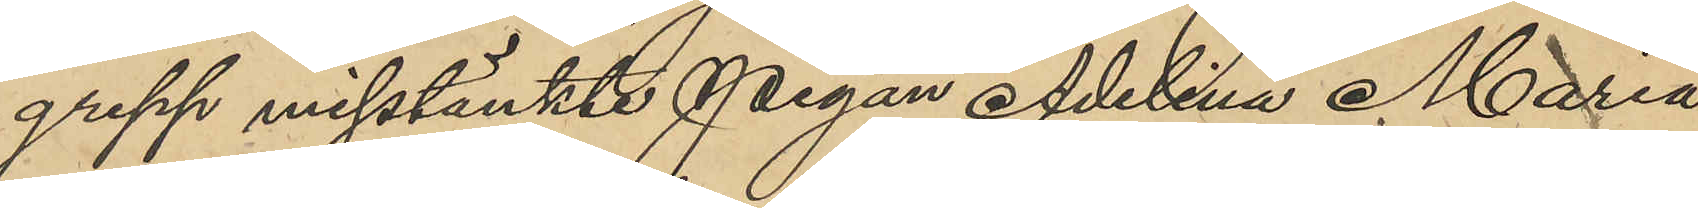grepp misstänkte Adelina Maria
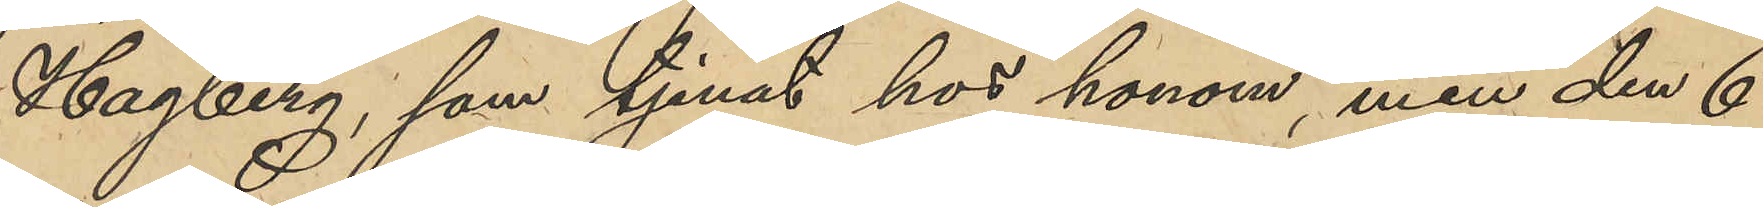Hagberg, som tjenat hos honom, men den 6
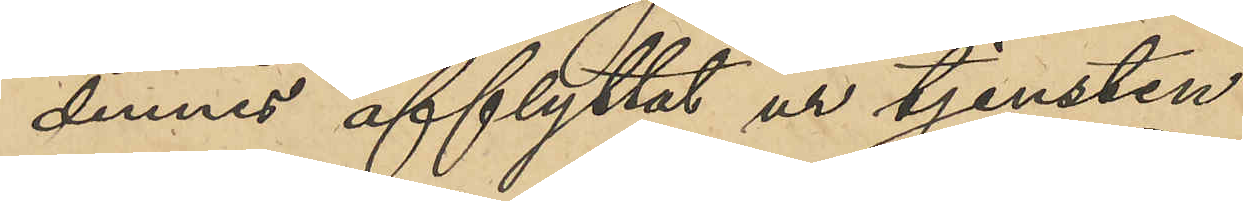dennes afflyttat ur tjensten.
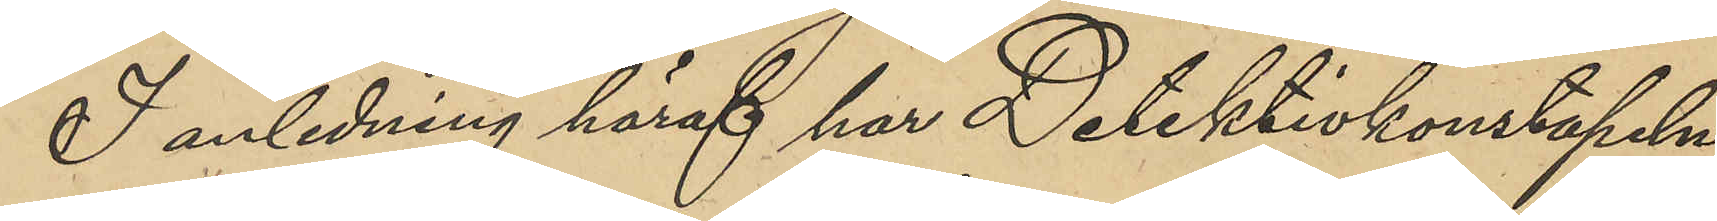I anledning häraf har Detektivkonstapeln
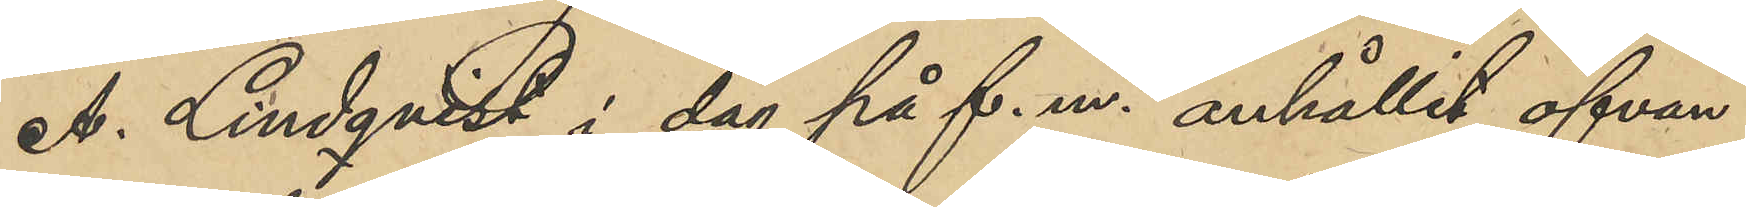A. LIndqvist i dag på f. m. anhållit ofvan¬
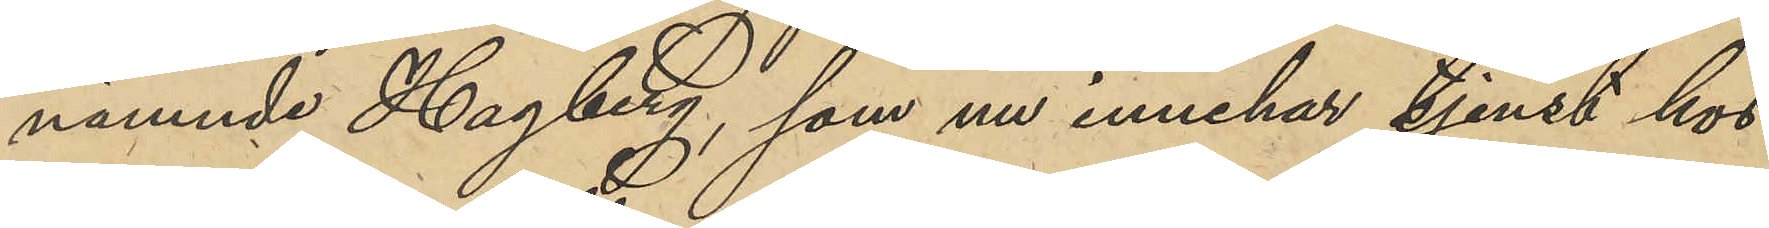nämnde Hagberg, som nu innehar tjenst hos
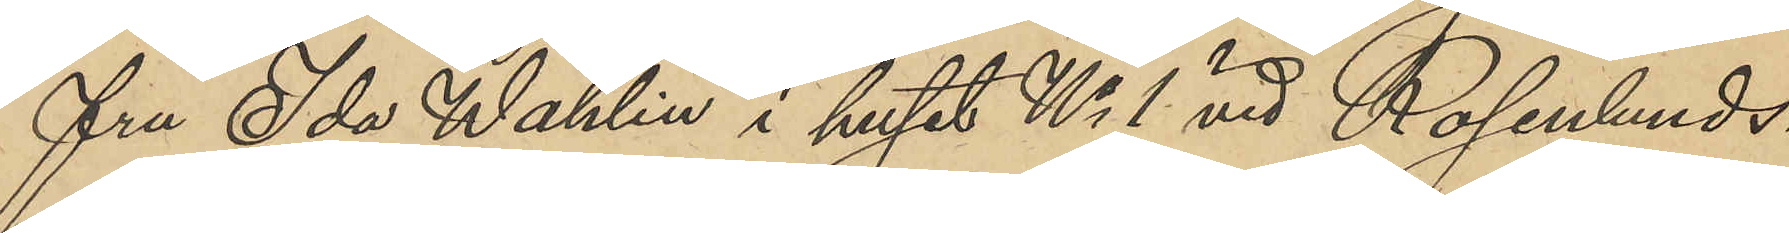fru Ida Wahlin i huset No 1 vid Rosenlunds¬
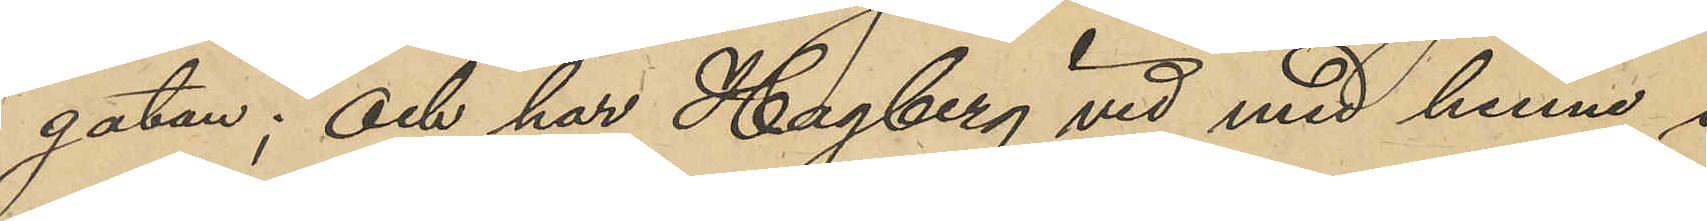gatan; och har Hagberg vid med henne i
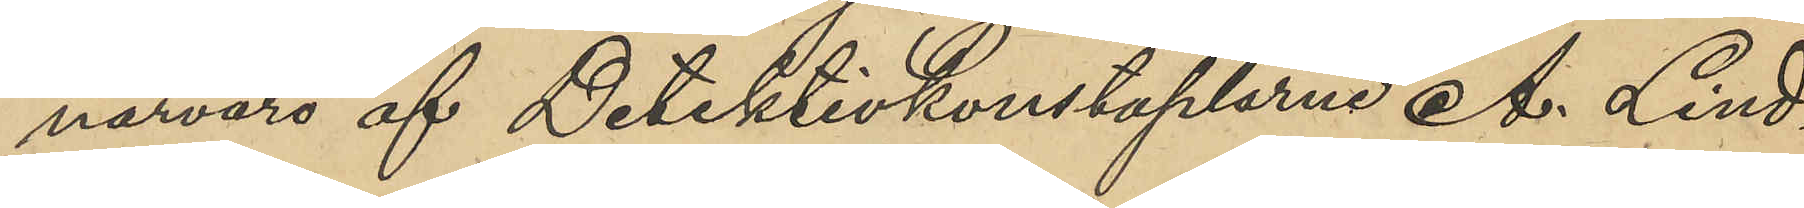närvaro af Detektivkonstaplarne A. Lind¬
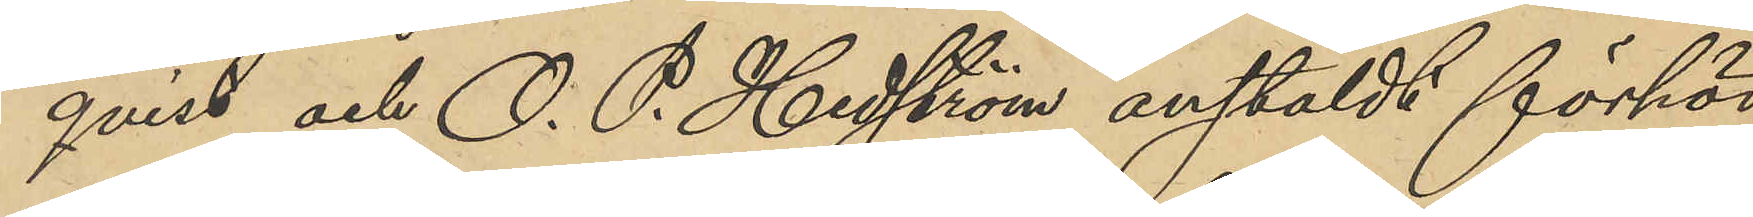qvist och O. P. Hedström anstäldt förhör
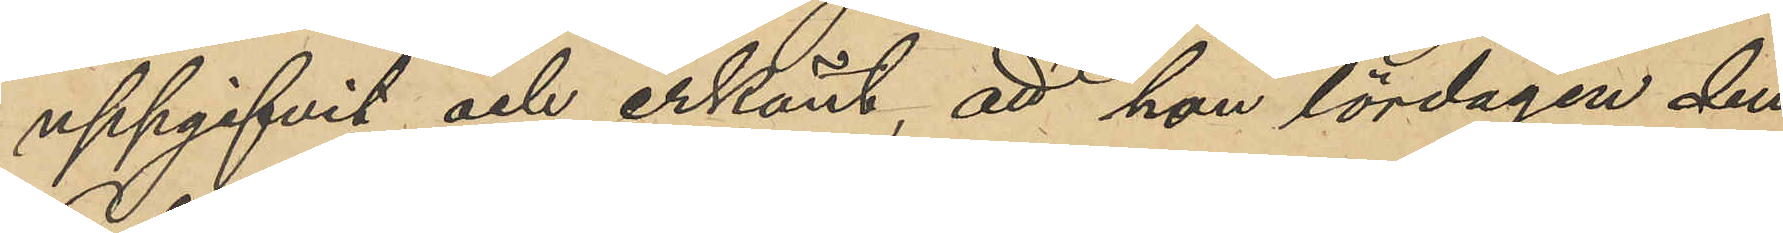uppgifvit och erkänt, att hon lördagen den
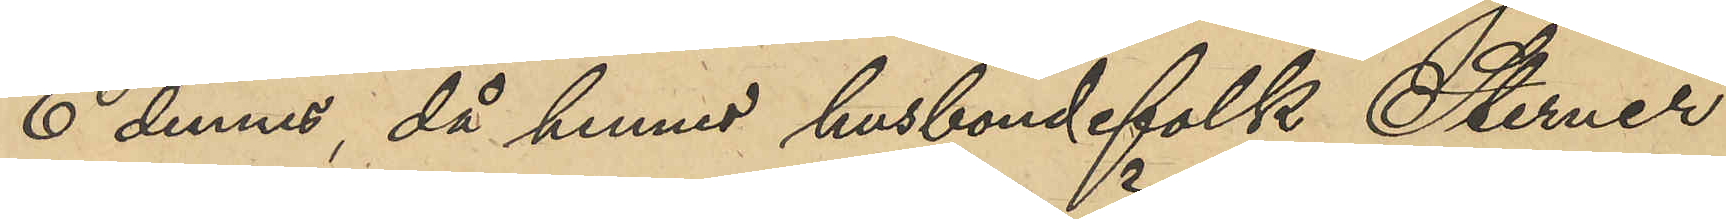6 dennes, då hennes husbondefolk Sterner
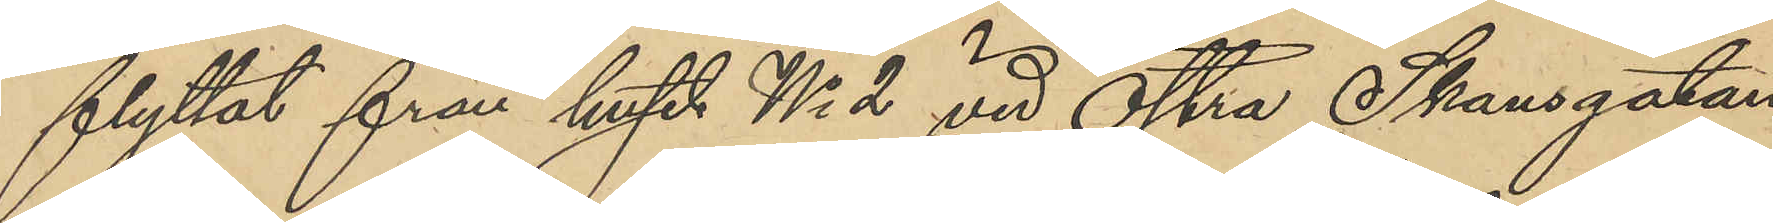flyttat från huset No 2 vid Östra Skansgatan
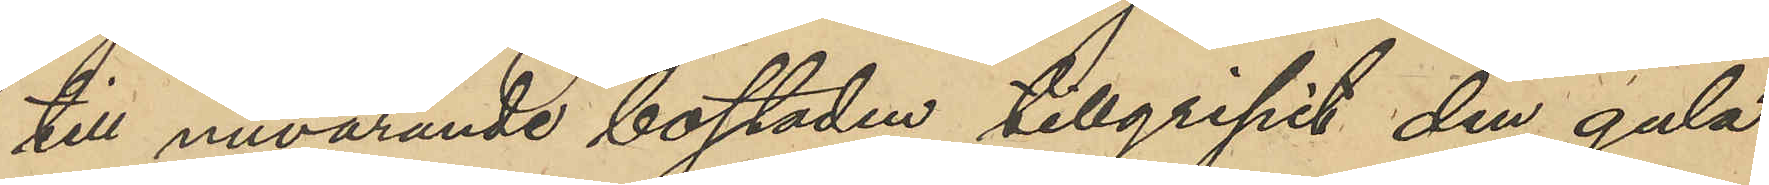till nuvarande bostaden tillgripit den gula
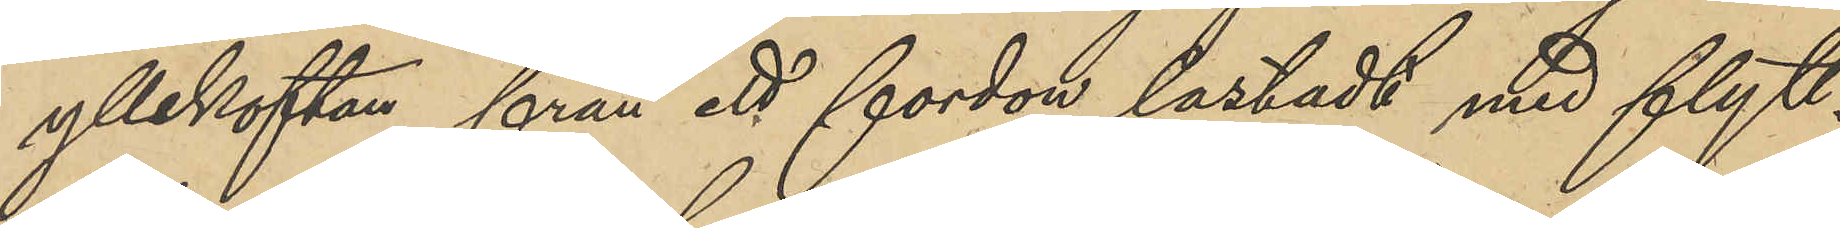yllekoftan från ett fordon, lastadt med flytt¬
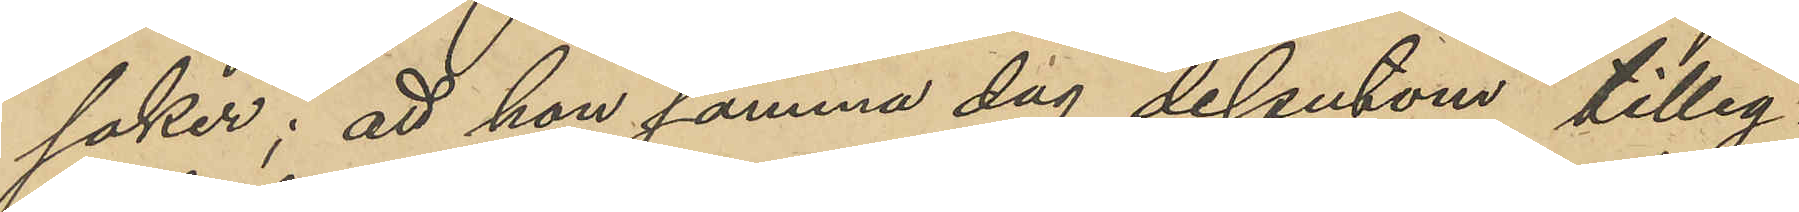saker; att hon samma dag dessutom tilleg¬
